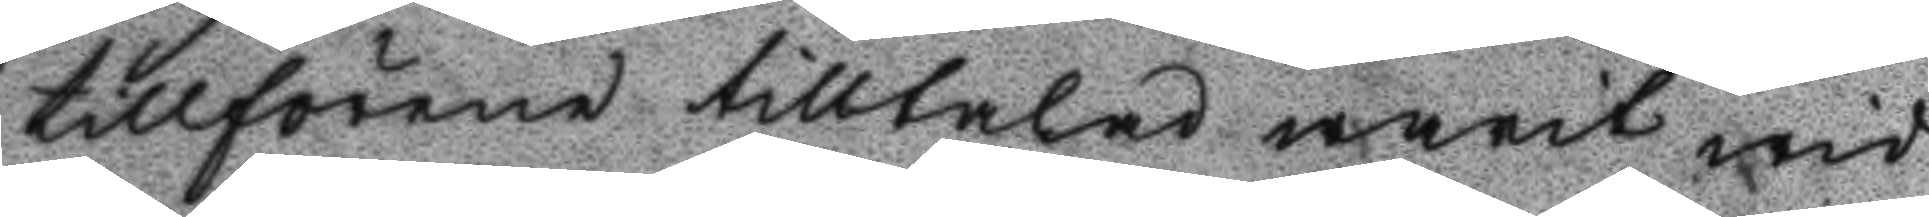tillförende tilltalad warit wid
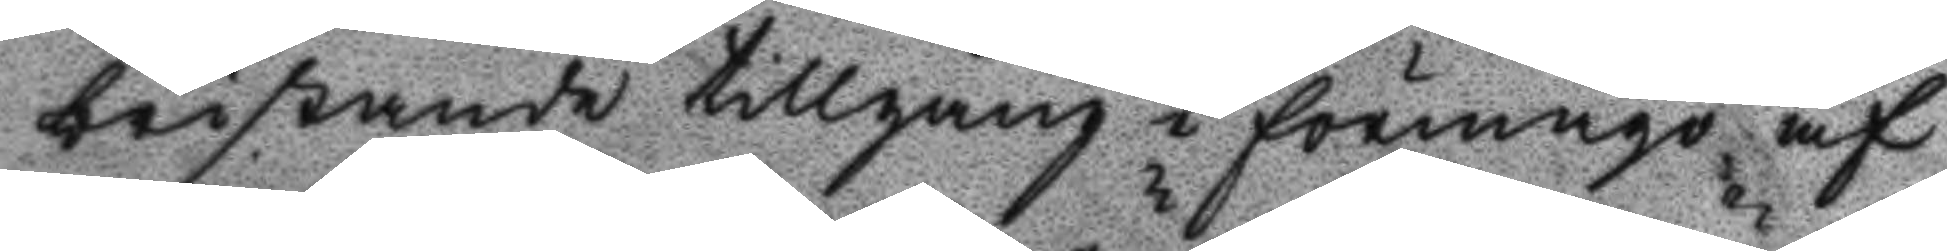bristande tillgång i förmågo af
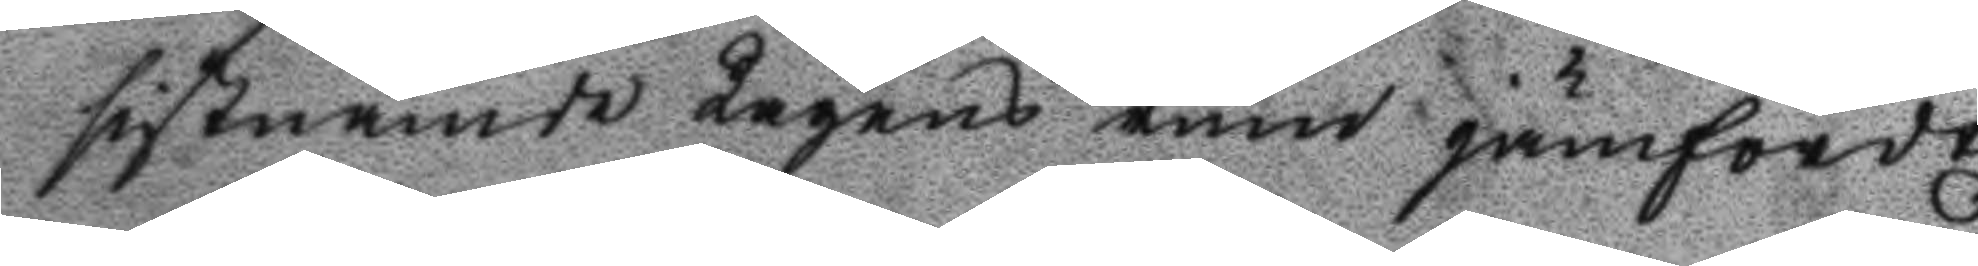sistnämde lagens rum jämfördt
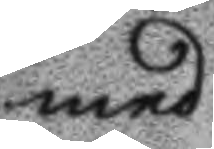med
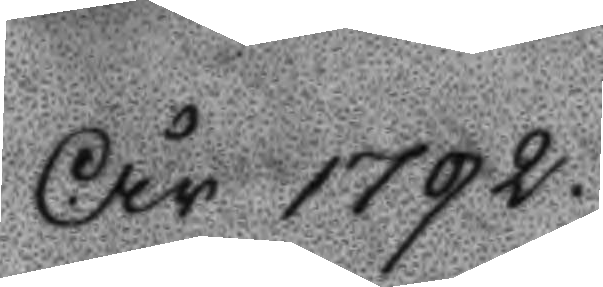År 1792.
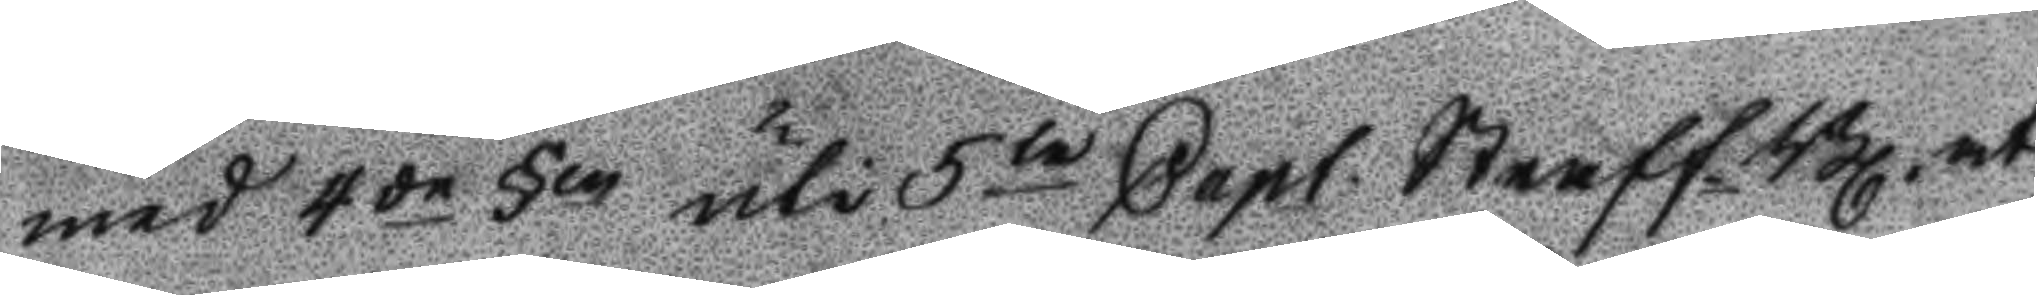med 4de §en uti 5te Capt. Straff.Bl. at 
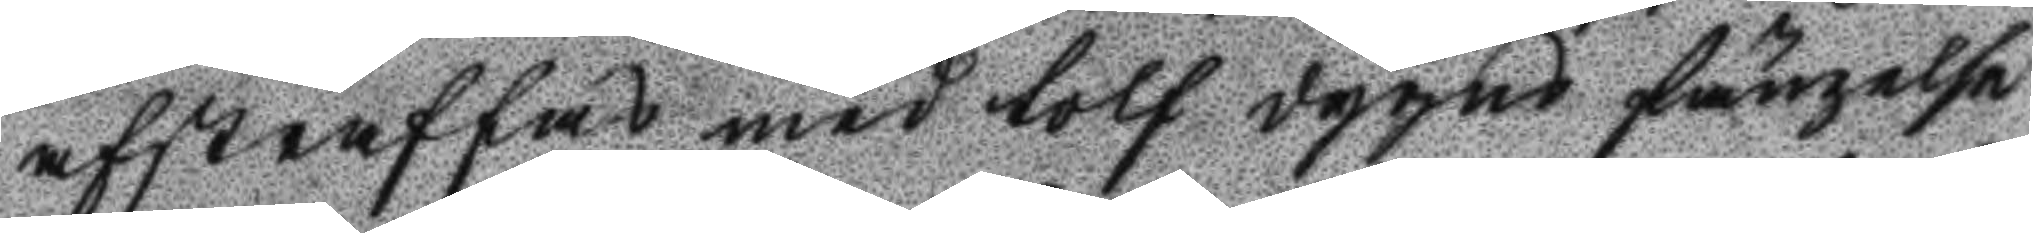afstraffas med tolf dygns fängelse
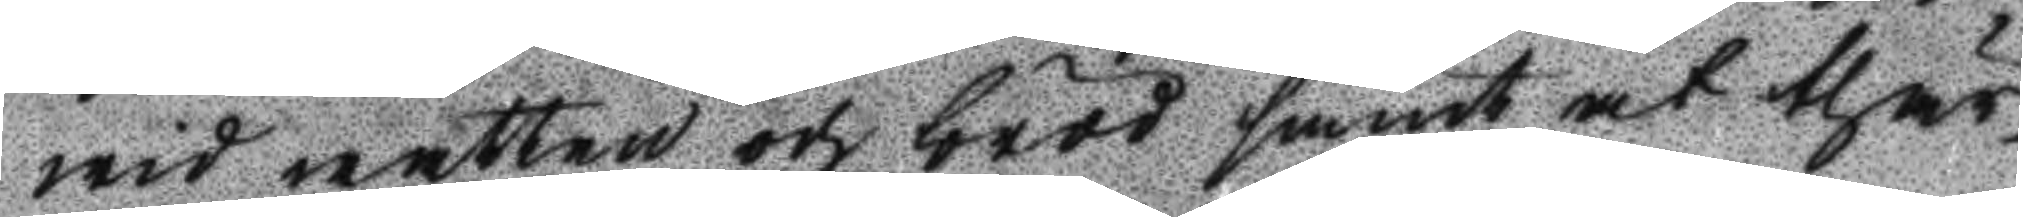wid watten och bröd samt at thär¬
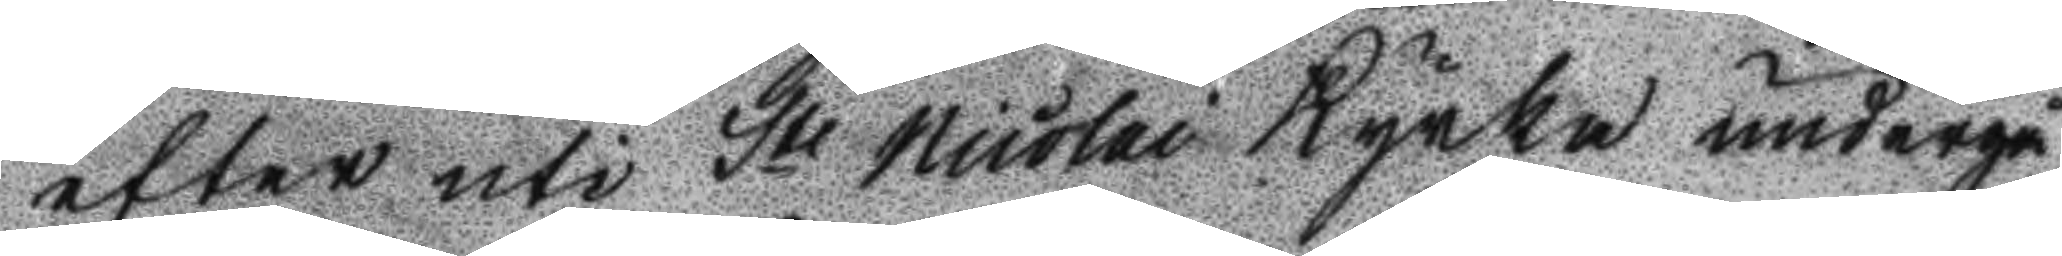efter uti St Nicolai Kyrka undergå
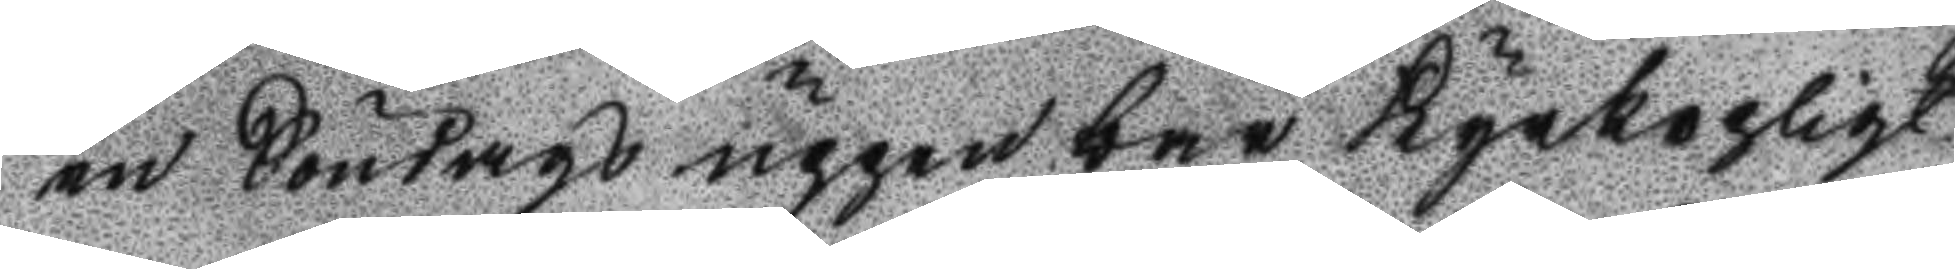en Söndags uppenbar Kyrkopligt
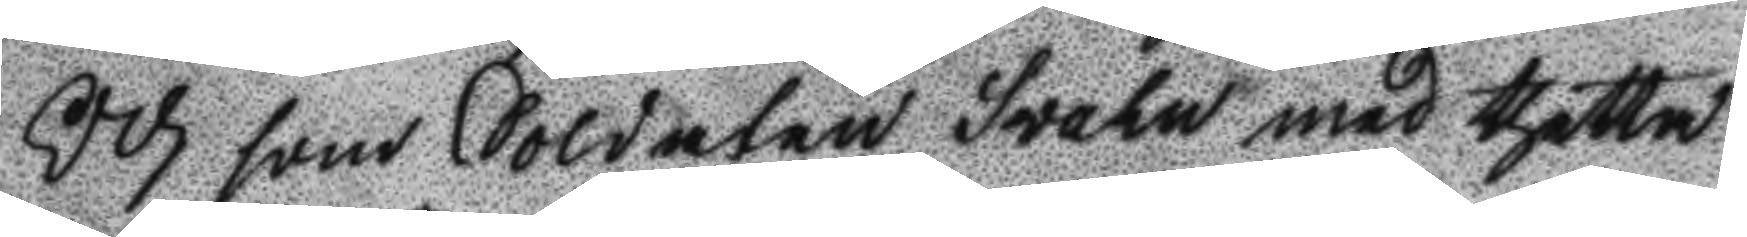Och som Soldaten Svahn med thetta
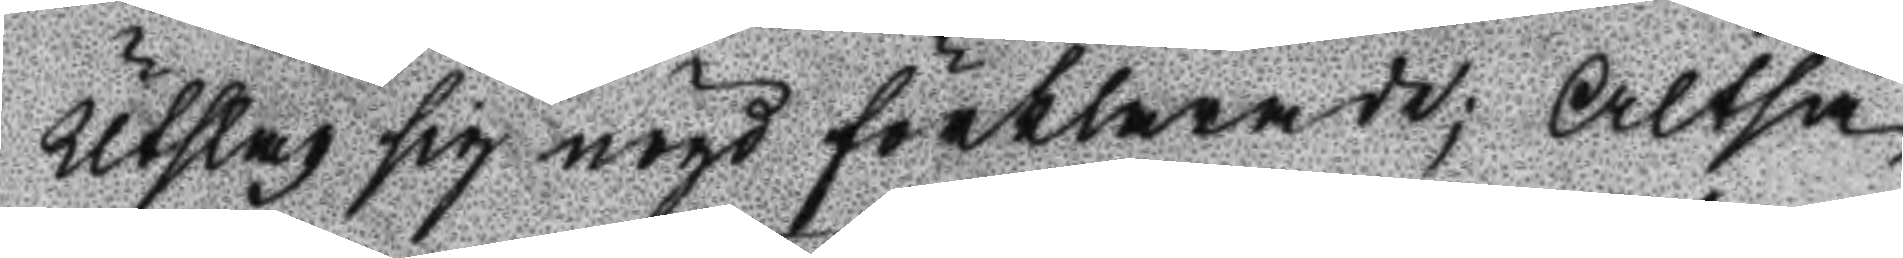Utslag sig nögd förklarade; Alltså
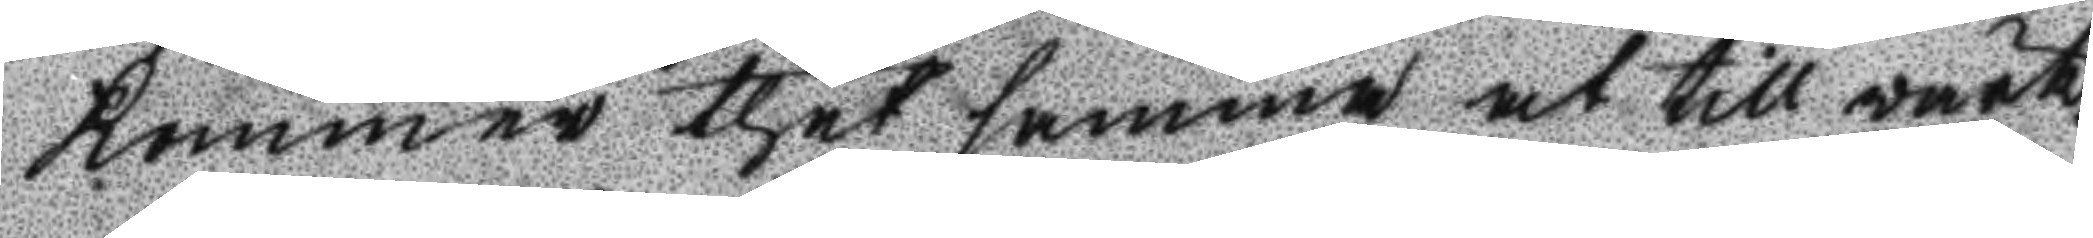kommer thet samma at till värk¬
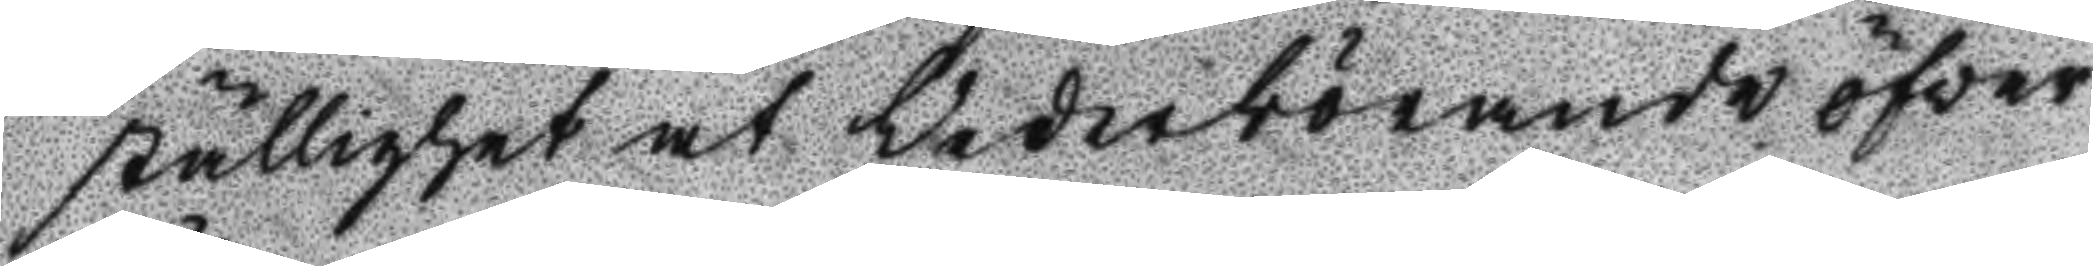ställighet at Vederbörande öfver
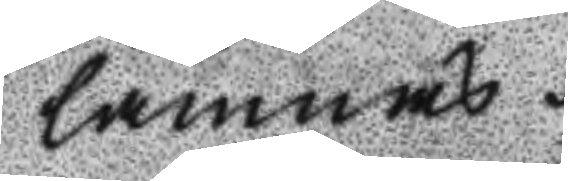lämnas.
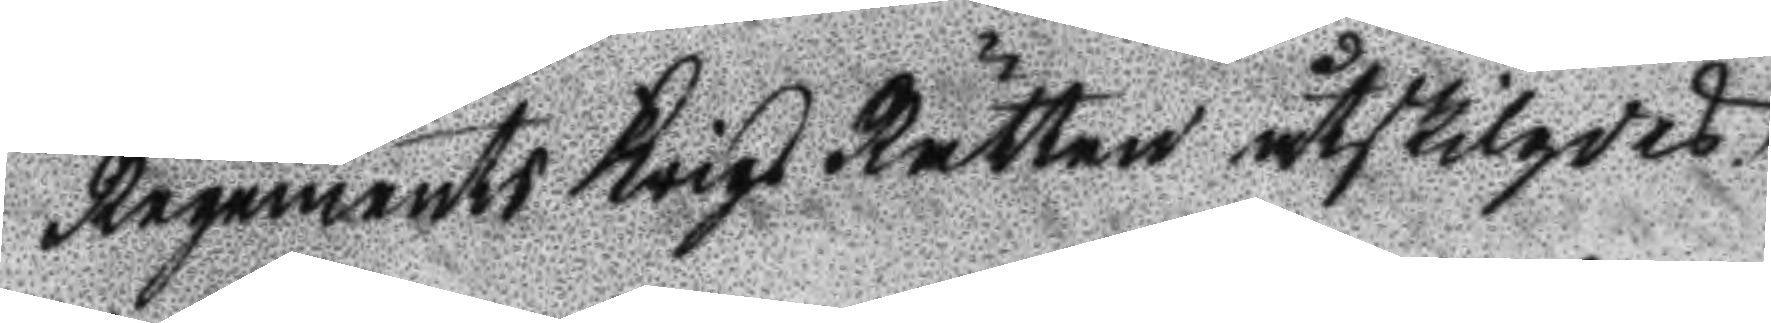Regements Krigs Rätten åtskilgdes.
